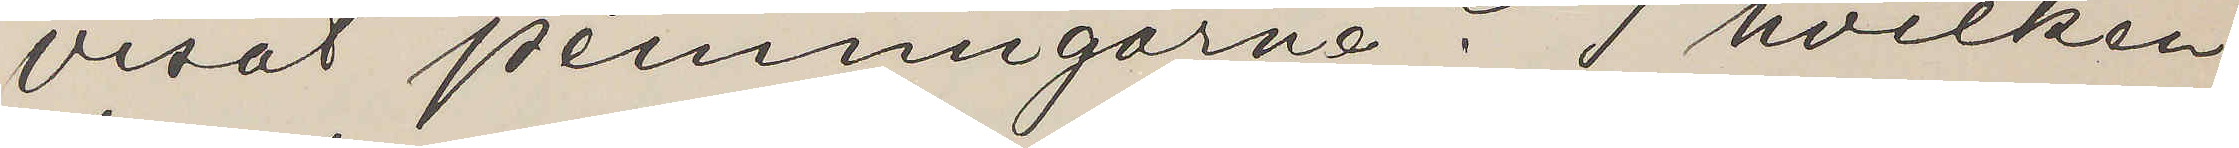visat penningarne? I hvilken
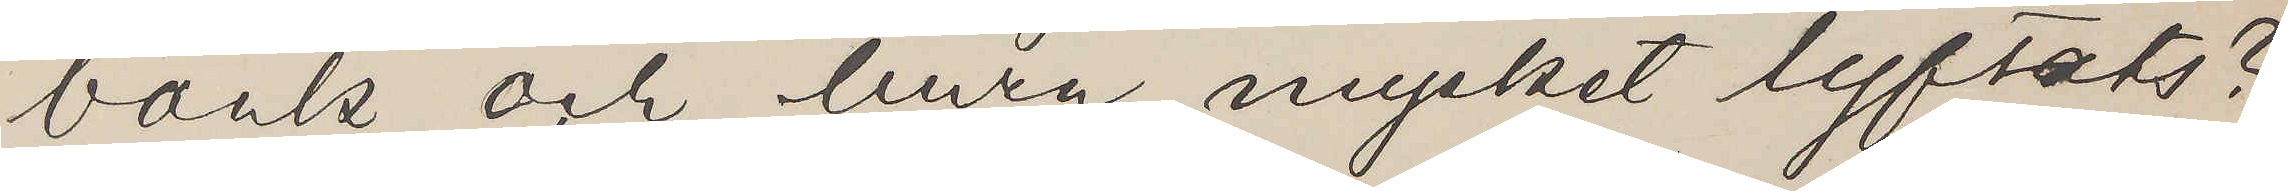bank och huru mycket lyftats?
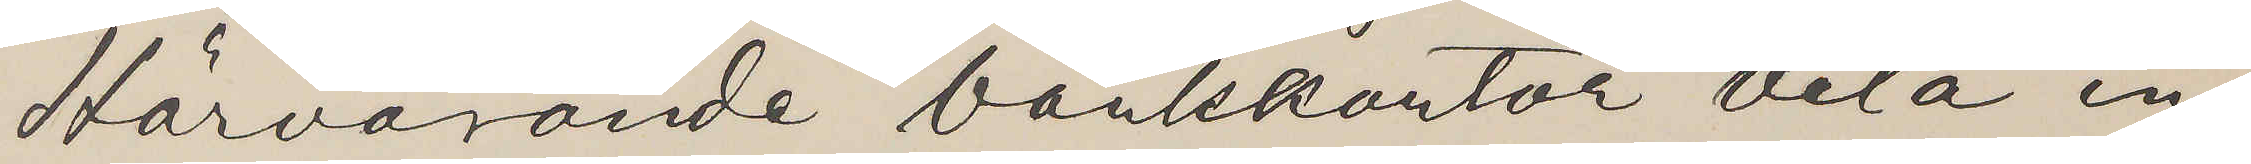Härvarande bankkontor veta in¬
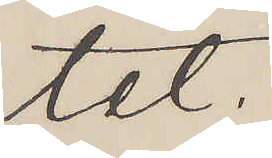tet.
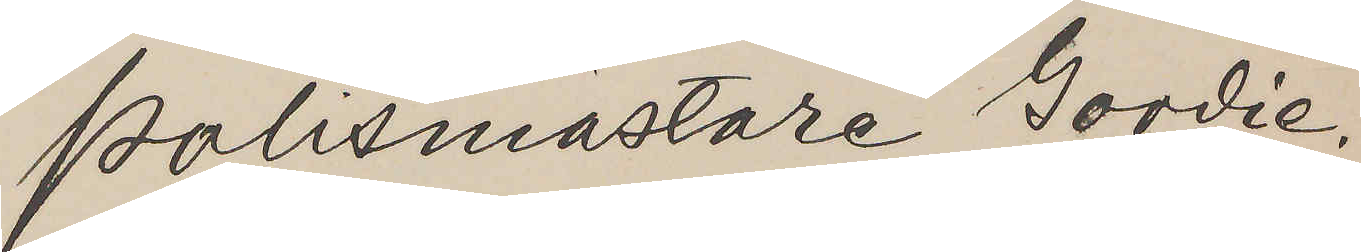Polismästare Gordie.
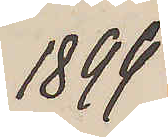1899
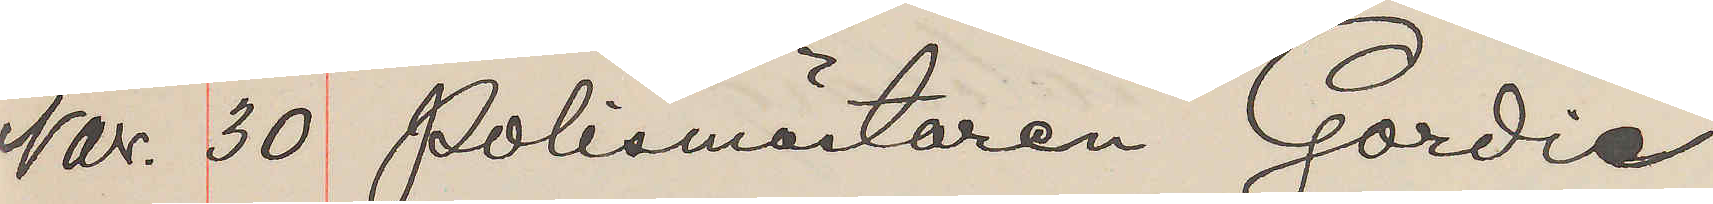Nov. 30 Polismätaren Gordie
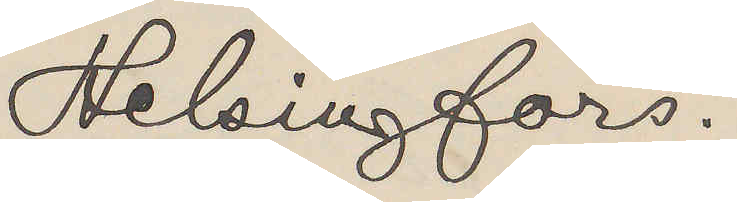Helsingfors.
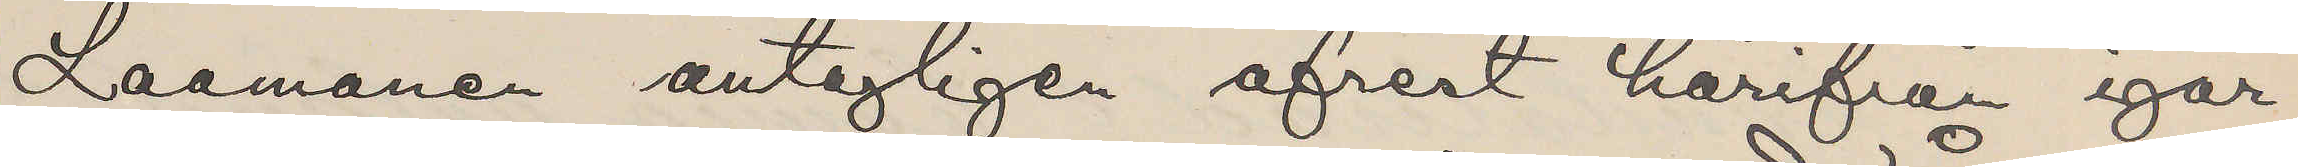Laamanen antagligen afrest härifrån igår
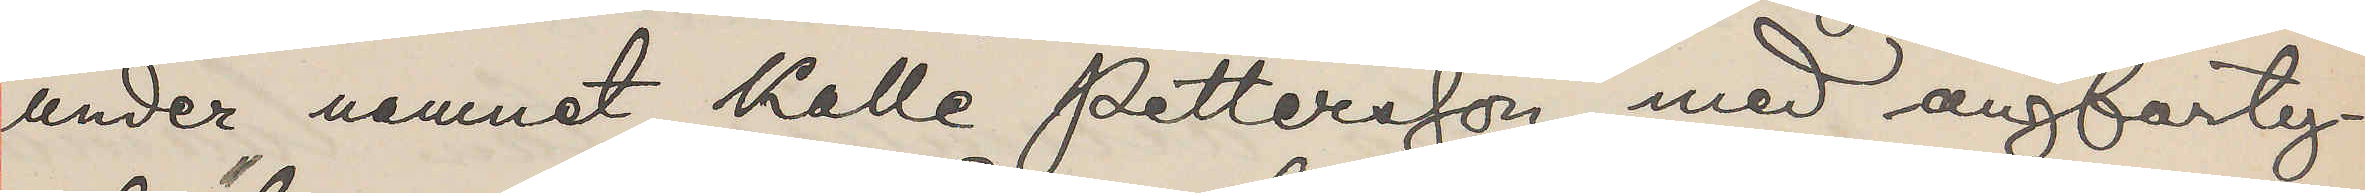under namnet Kalle Pettersson med ångfarty¬
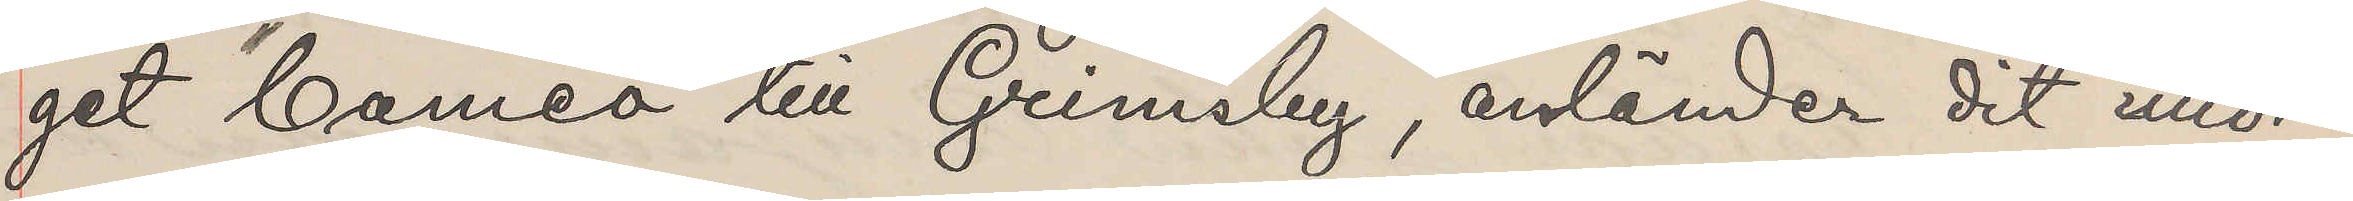get "Cameo" till Grimsby, anländer dit imor¬
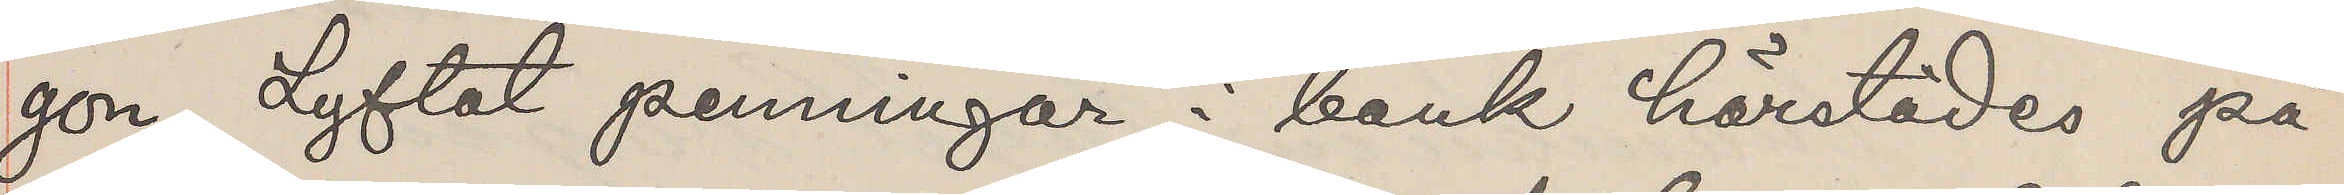gon. Lyftat penningar i bank härstädes på
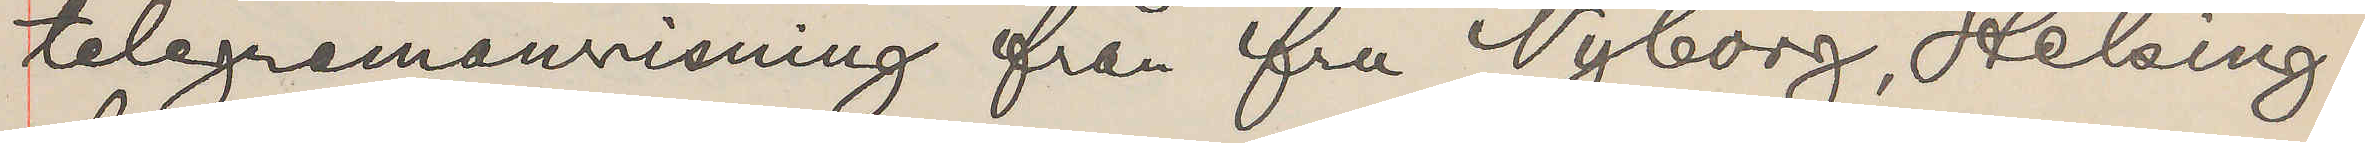telegramanvisning från fru Nyborg, Helsing¬
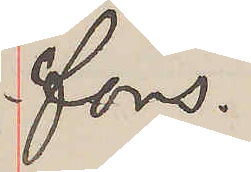fors.
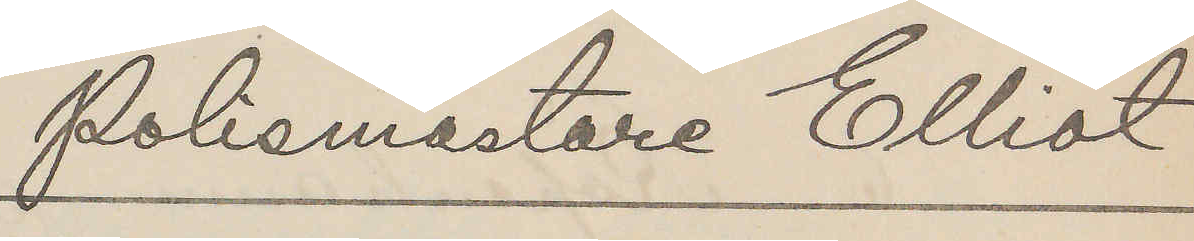Polismästare Elliot
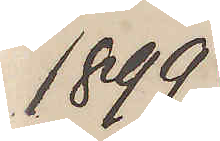1899.
